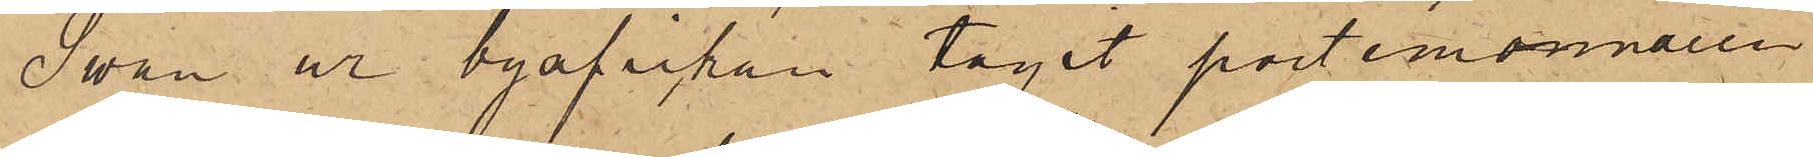Swan ur byxfickan tagit portemonnaien
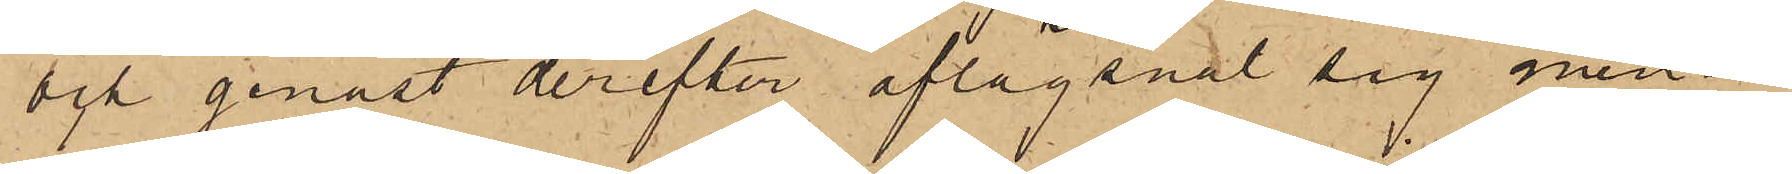och genast derefter aflägsnat sig men en
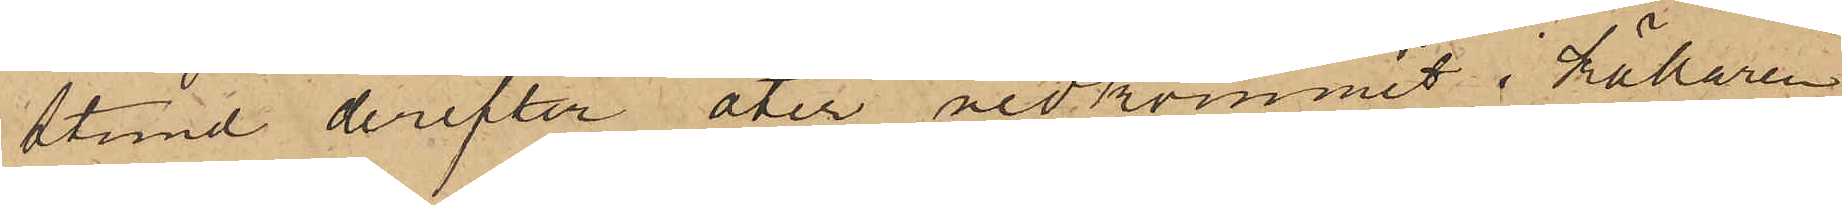stund derefter åter nedkommit i källaren
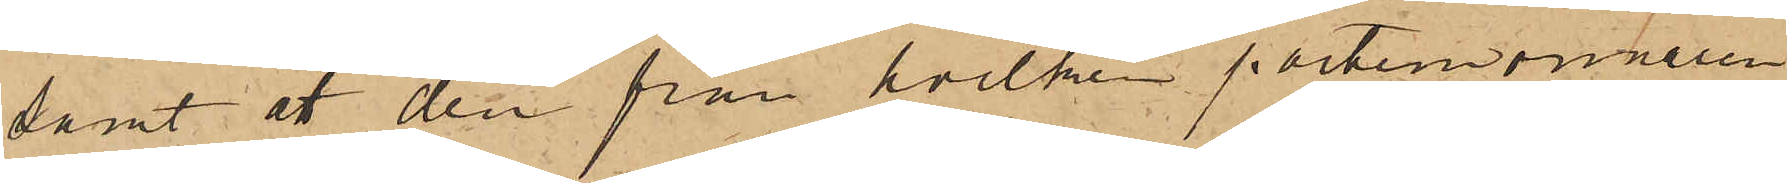samt att den från hvilken portemonnaien
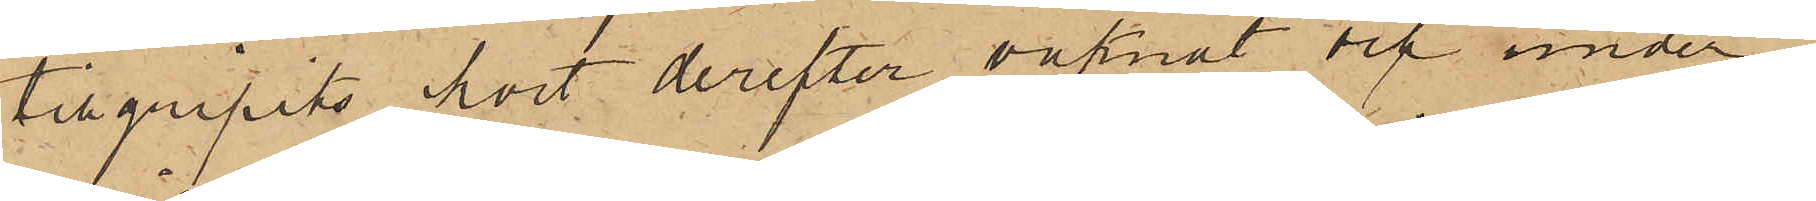tillgripits kort derefter vaknat och under
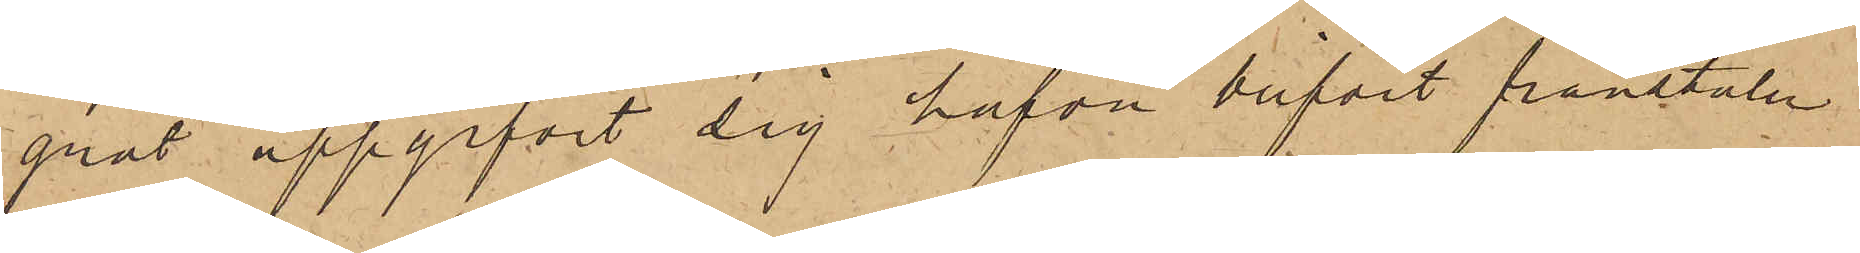gråt uppgifvit sig hafva blifvit frånstulen
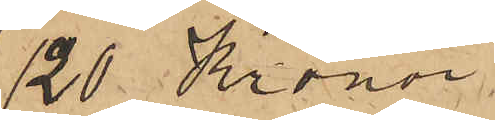120 Kronor
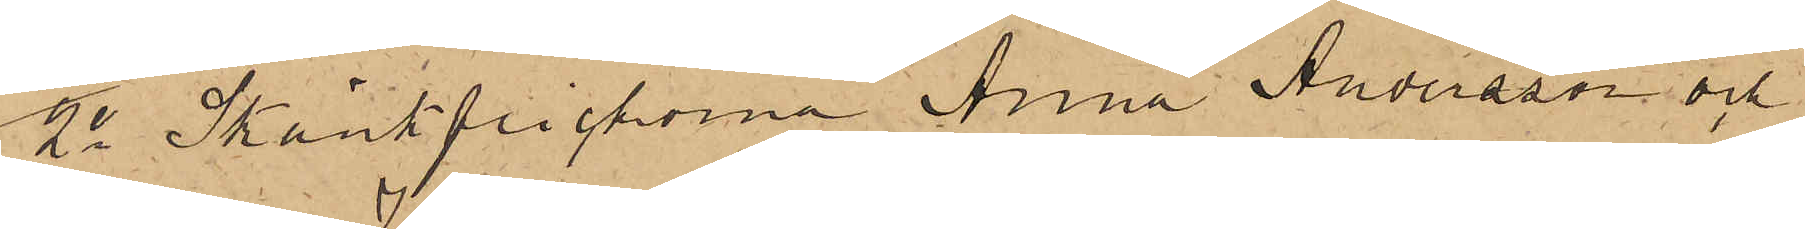2o Skänkflickorna Anna Andersson och
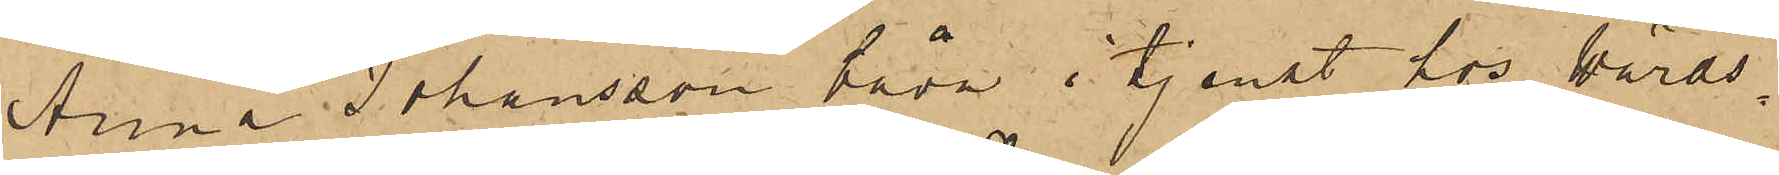Anna Johansson båda i tjenst hos Wärds¬
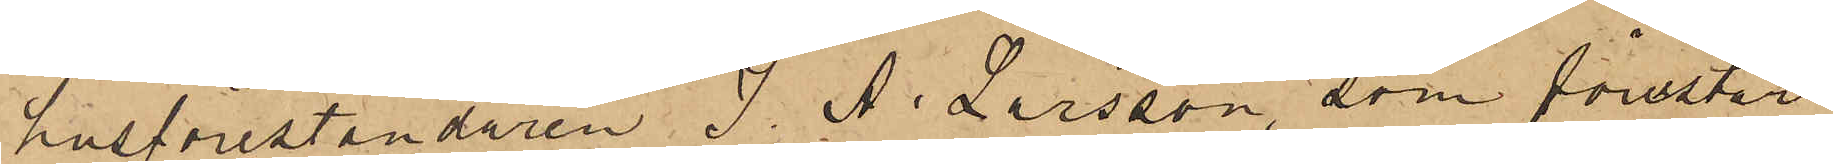husföreståndaren J. A. Larsson, som förestår
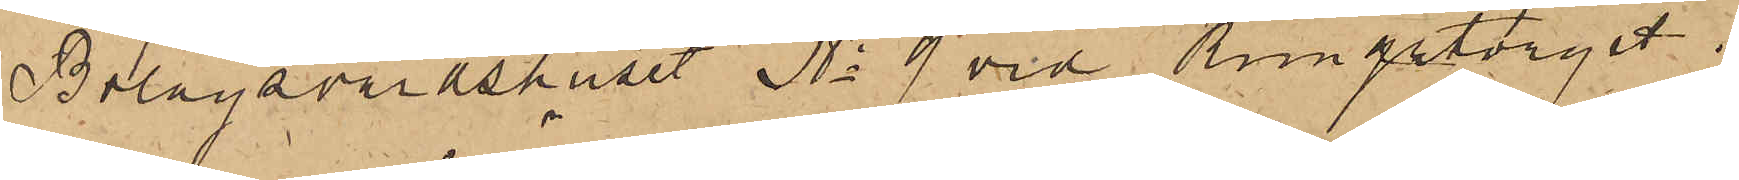Bolagsvärdshuset No 9 vid Kungstorget,
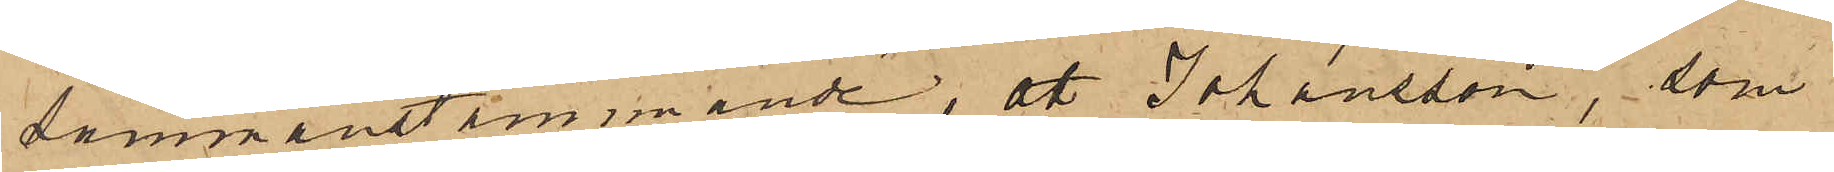sammanstämmande, att Johansson, som
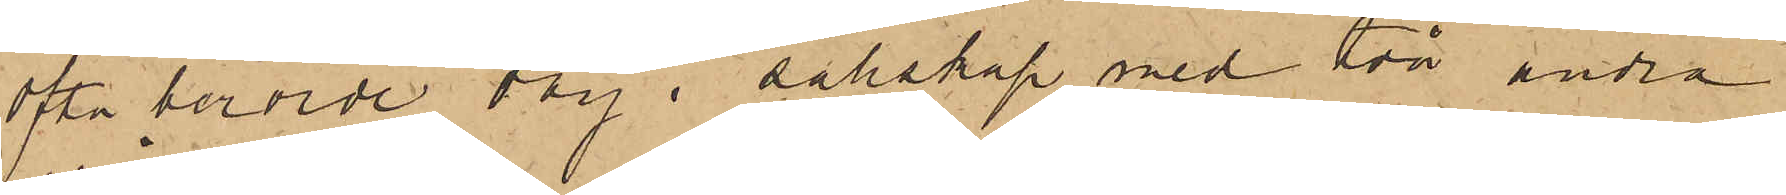ofta berörde dag i sällskap med två andra
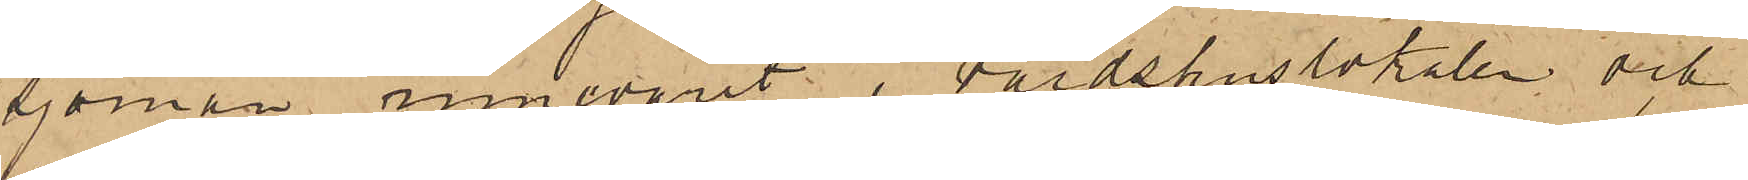sjömän innevarit i värdshuslokalen och
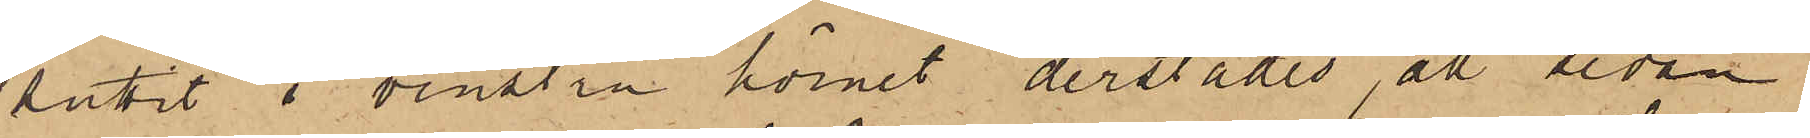suttit i venstra hörnet derstädes, att sedan
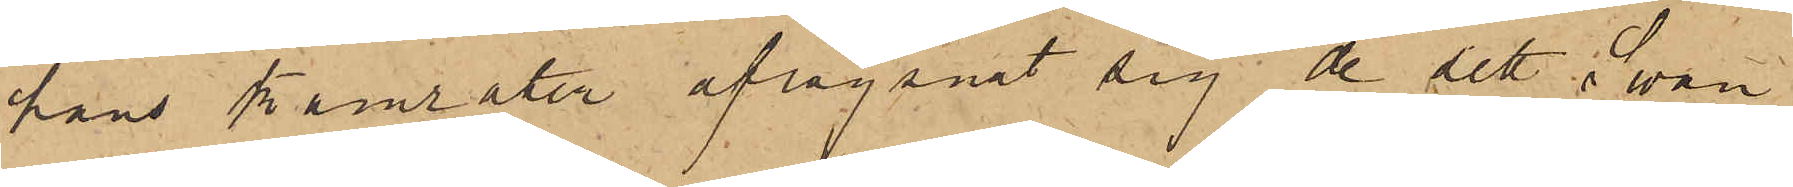hans kamrater aflägsnat sig de sett i Swan
